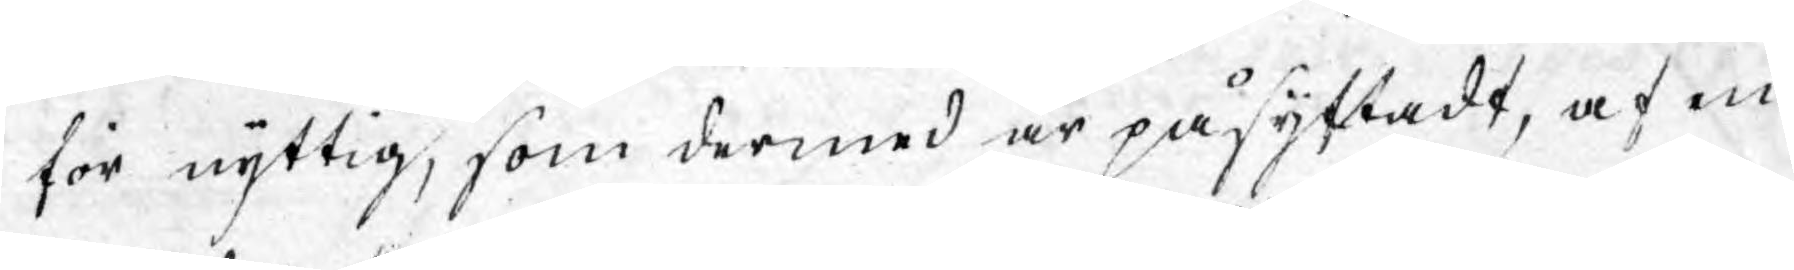för nyttig, som dermed är påsyftadt, af en
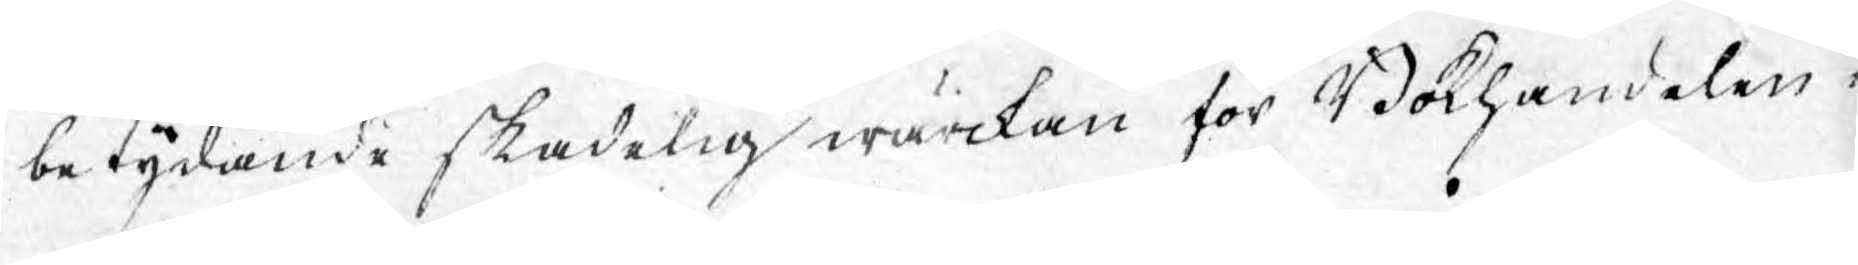betydande skadelig wärckan för Bokhandelen i
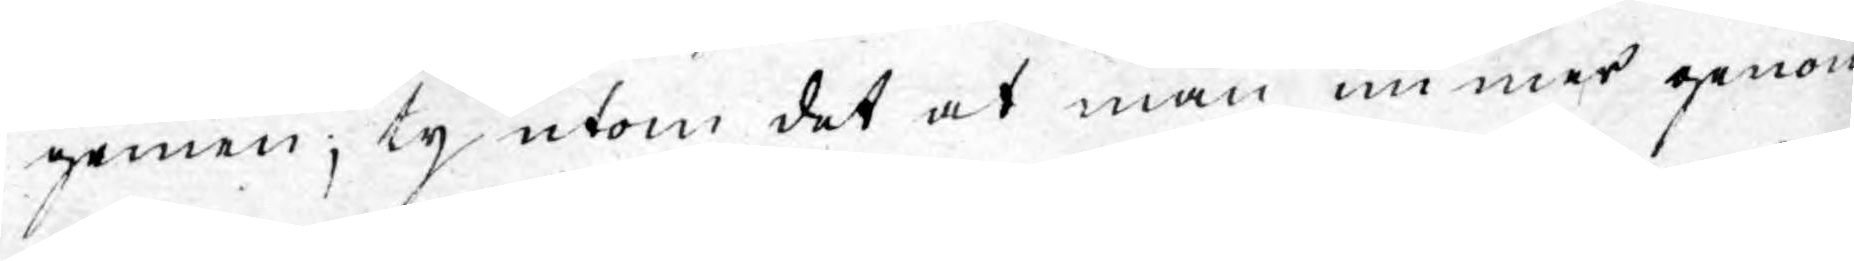gemen; ty utom det at man nu mer genom
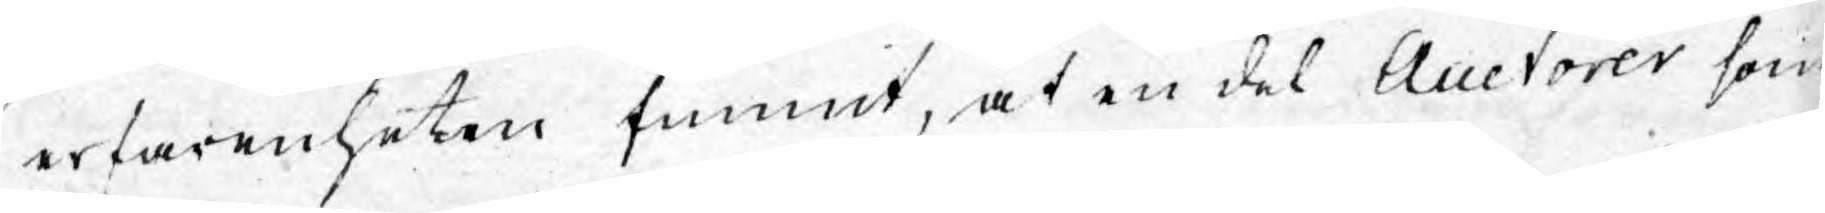erfarenheten funnit, at en del Auctorer som
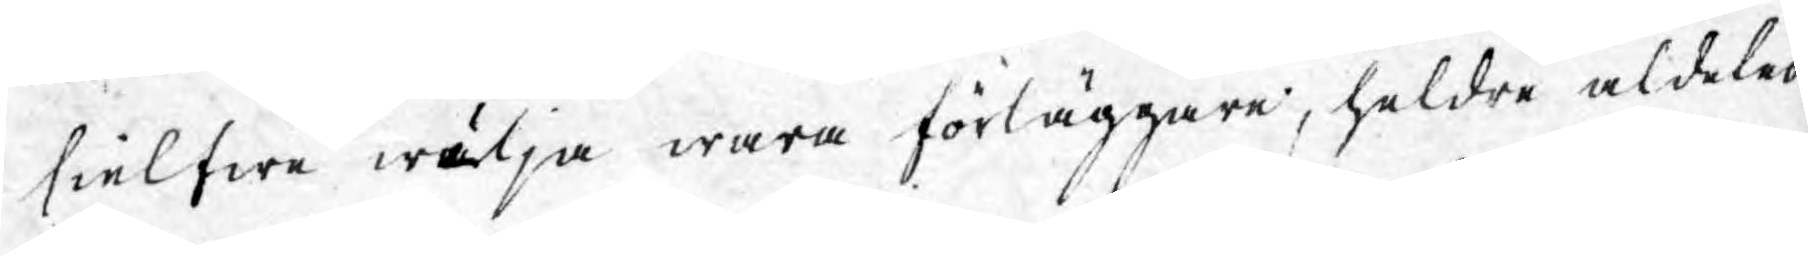sielfwa wilja wara förläggare, heldre aldeles
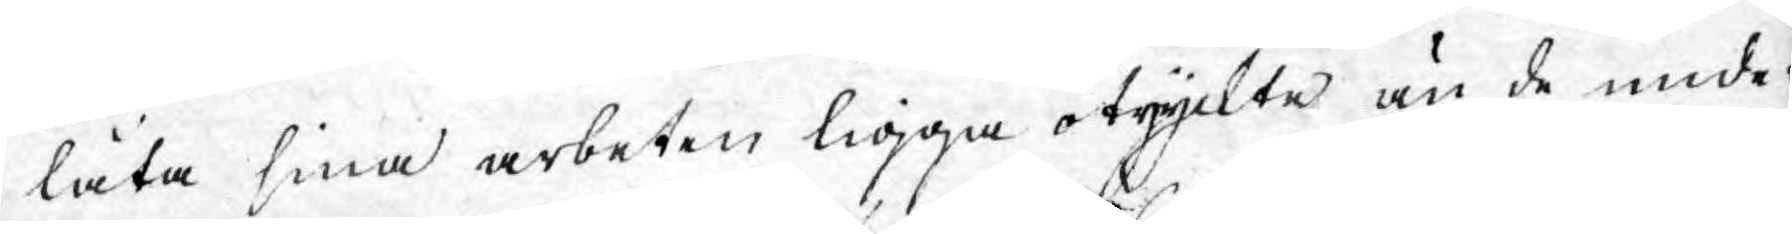låta sina arbeten ligga otryckte än de under¬
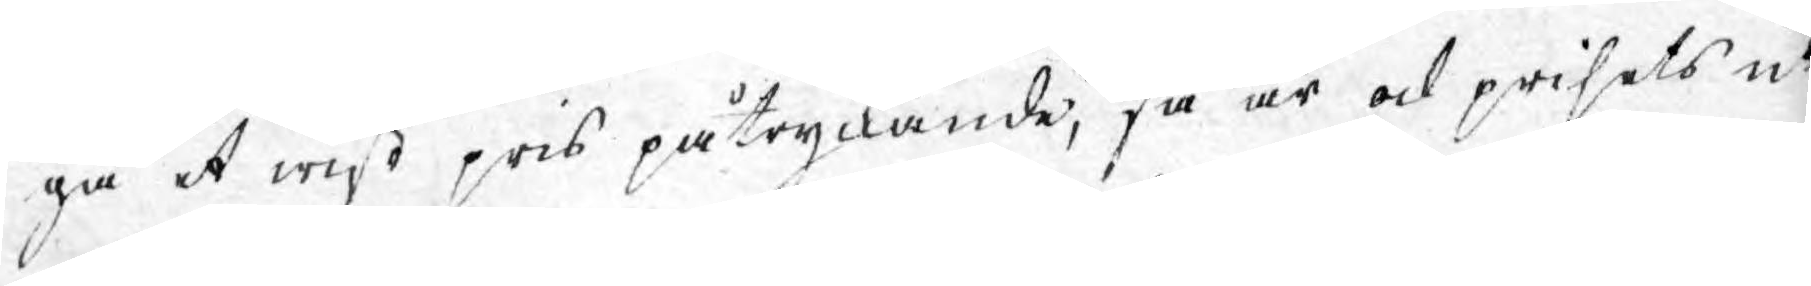gå et wist pris påtryckande, så är ock prisets ut¬
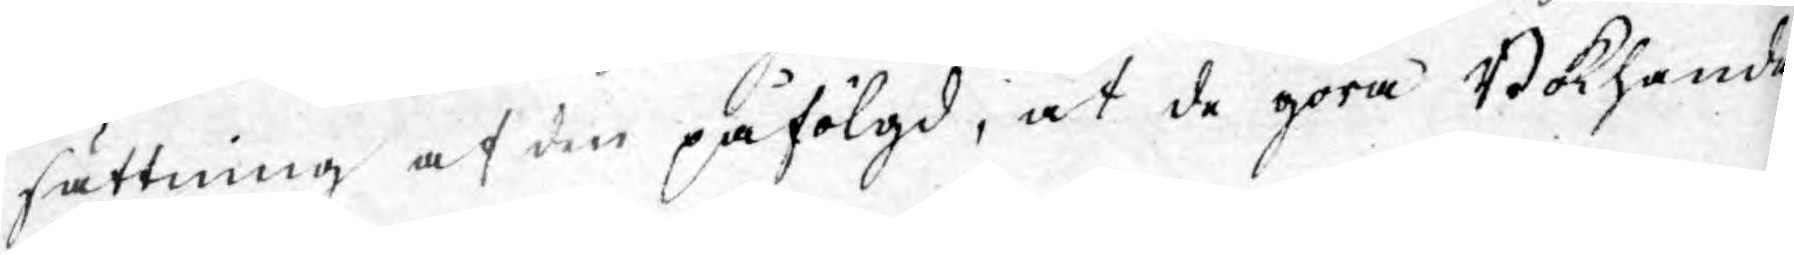sättning af den påfölgd, at de göra Bokhande¬
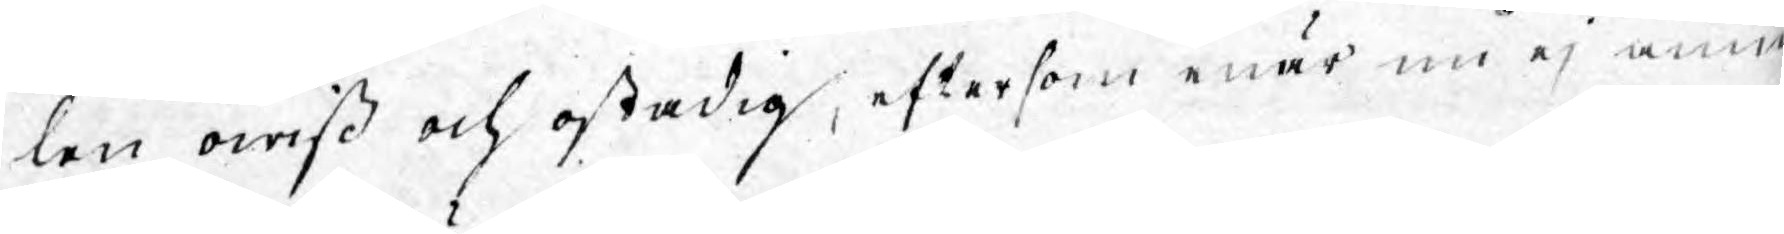len owiß och ostadig, eftersom enär nu ej annat
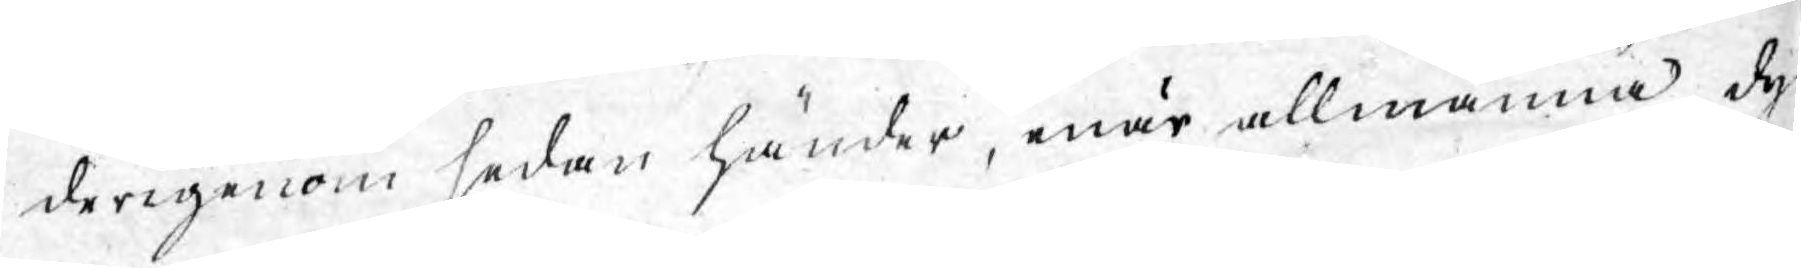derigenom sedan händer, enär allmänna dyr¬
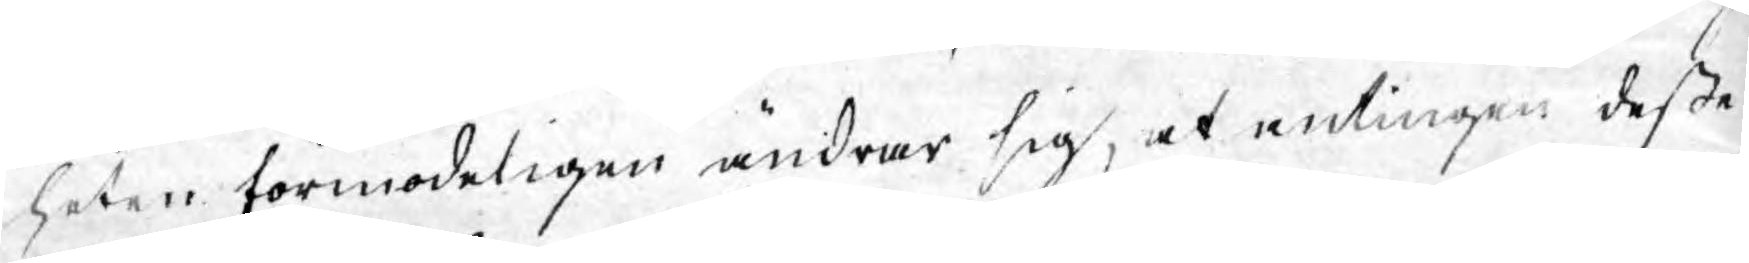heten förmodeligen ändrar sig, at antingen deßa
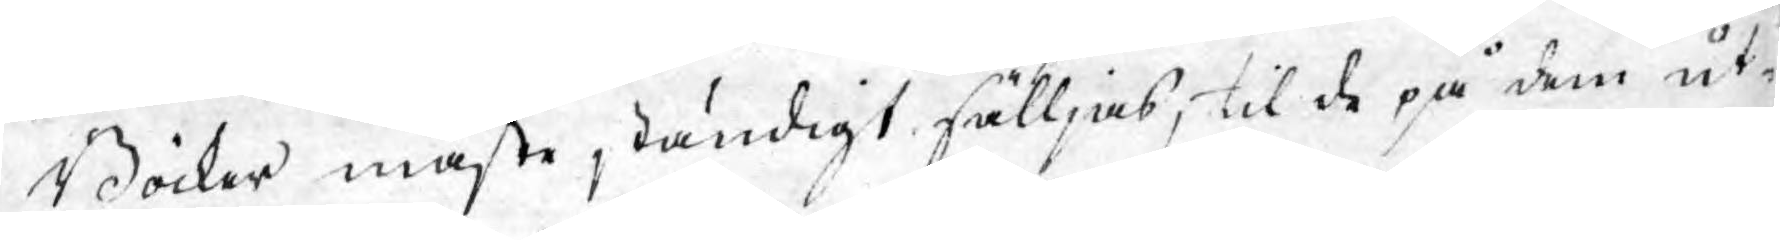Böcker måste ständigt sälljas, til de på dem ut¬
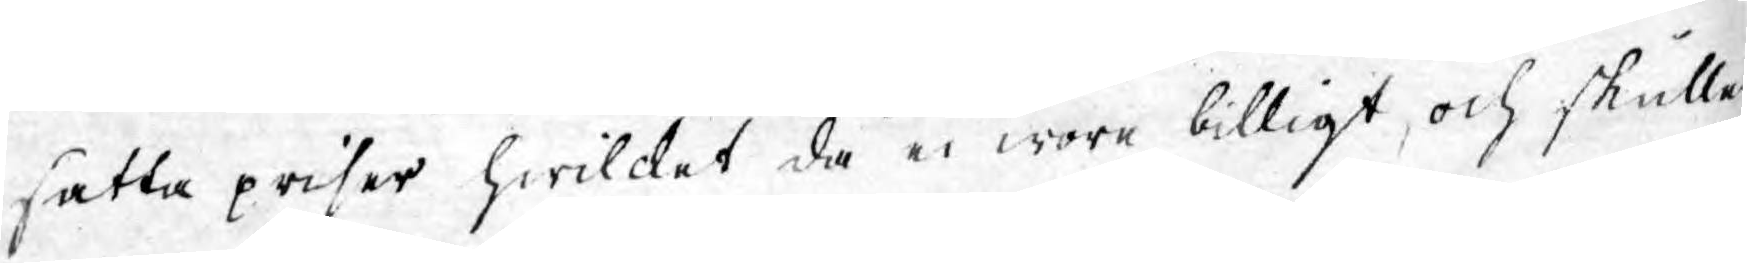satta priser hwilcket då ei wore billigt, och skulle
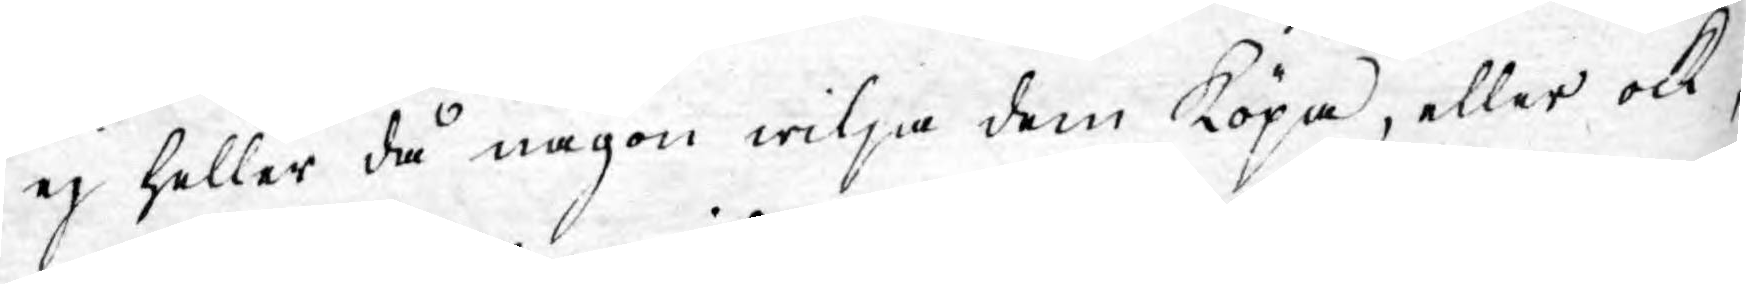ej heller då någon wilja dem köpa, eller ock,
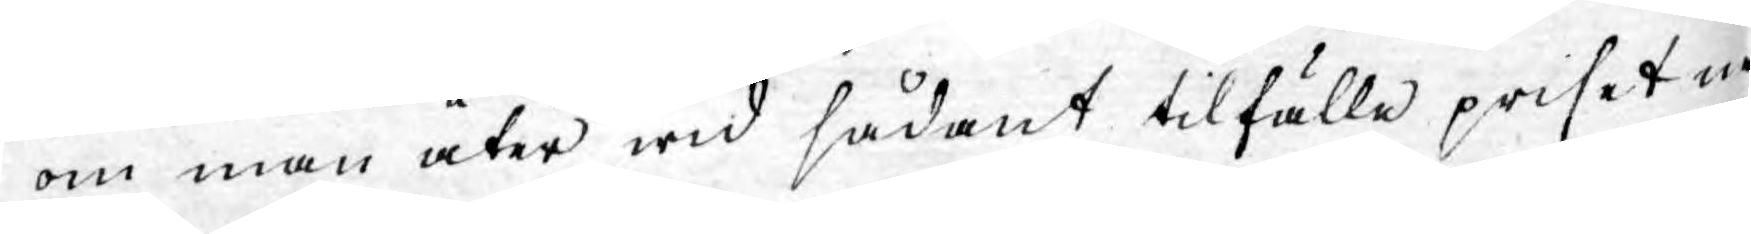om man åter wid sådant tilfälle priset in¬
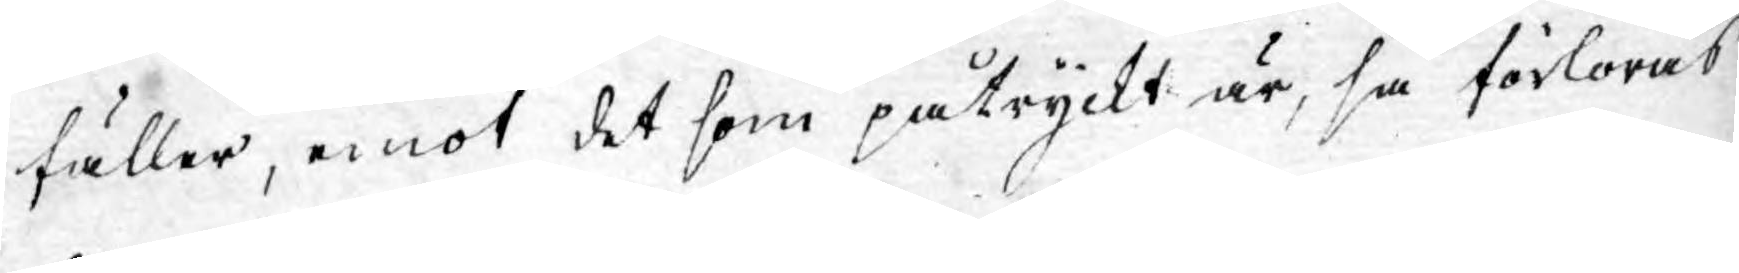fäller, emot det som påtryckt är, så förloras
